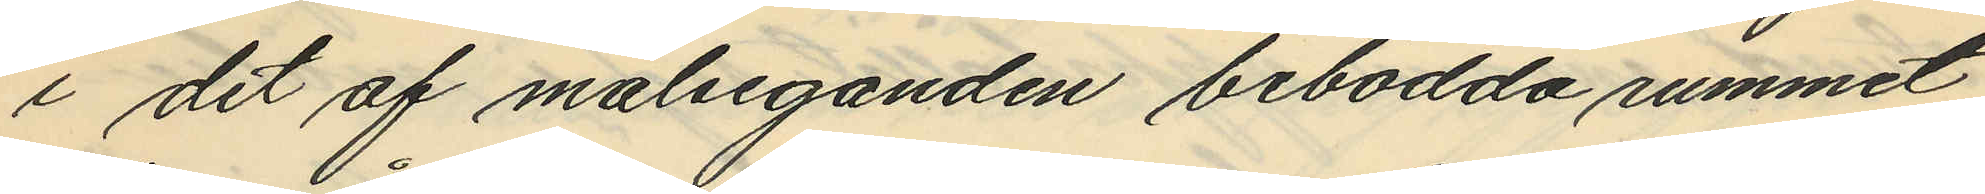i det af målseganden bebodda rummet
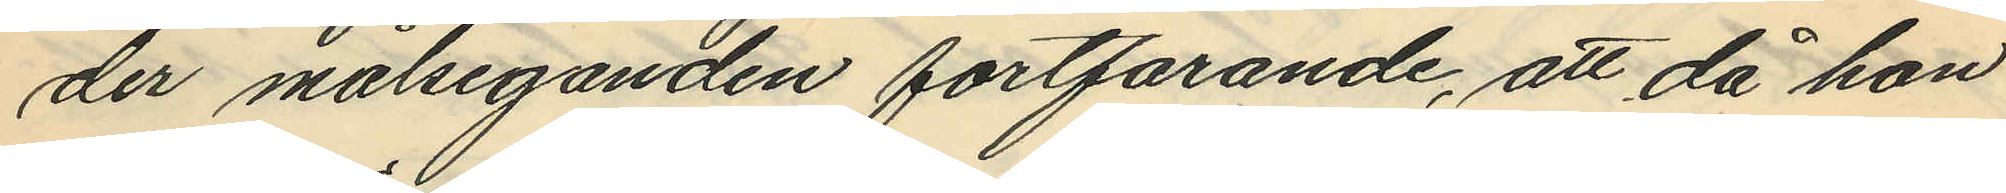der målseganden fortfarande, att då hon
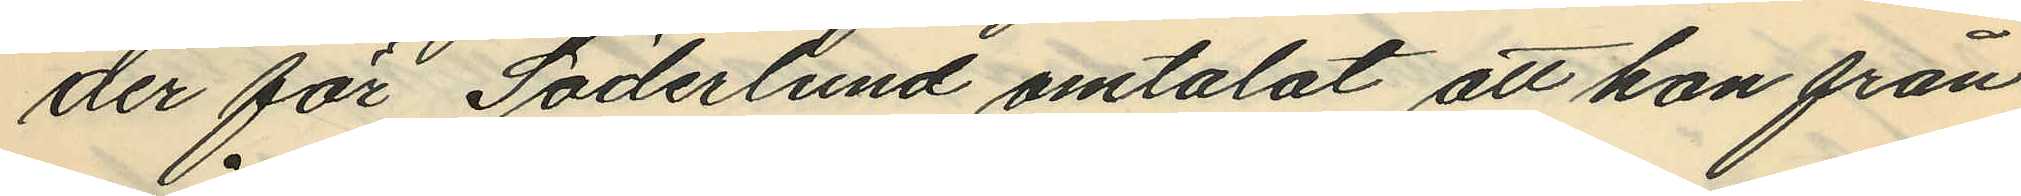der för Söderlund omtalat att hon från
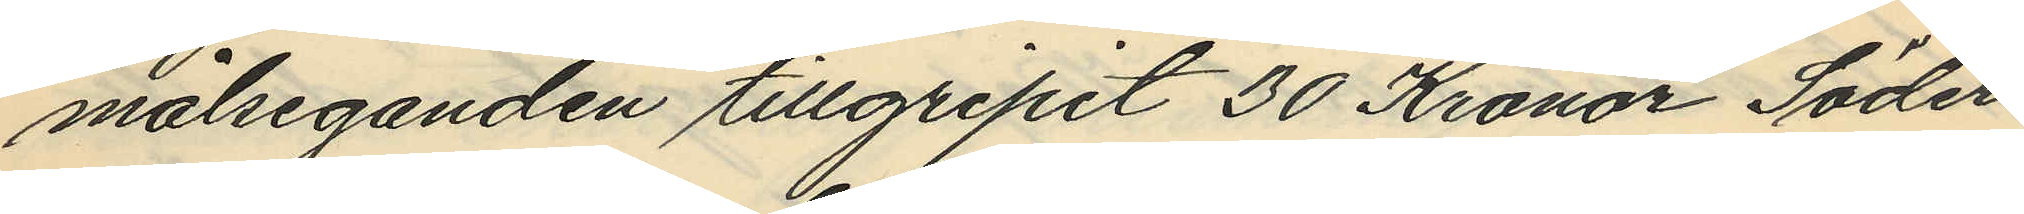målseganden tillgripit 30 Kronor Söder¬
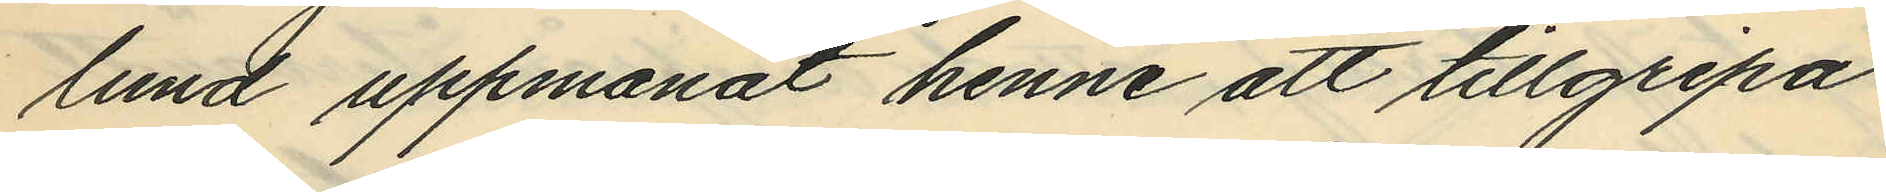lund uppmanat henne att tillgripa
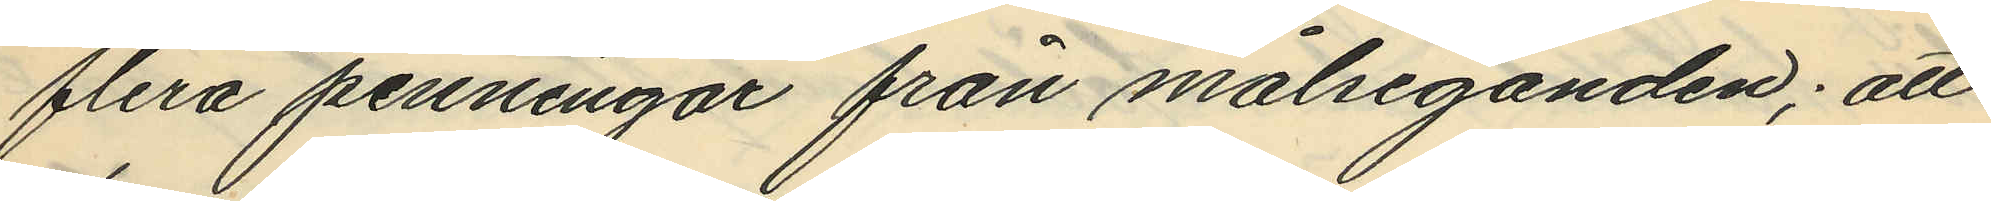flera penningar från målseganden; att
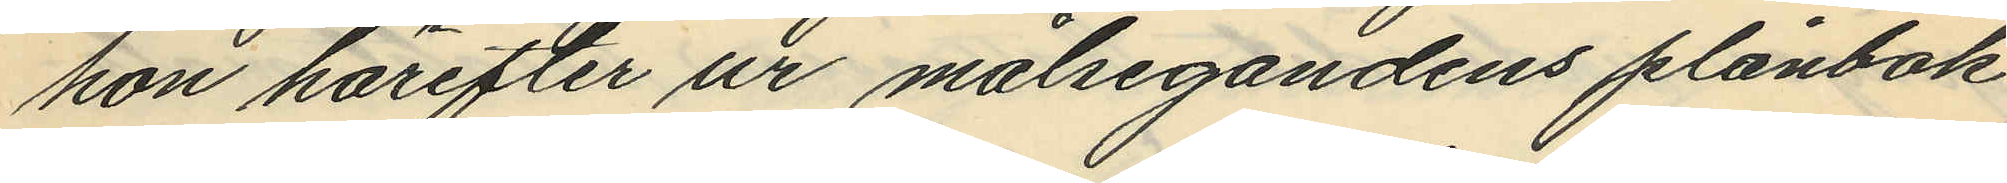hon härefter ur målsegandens plånbok
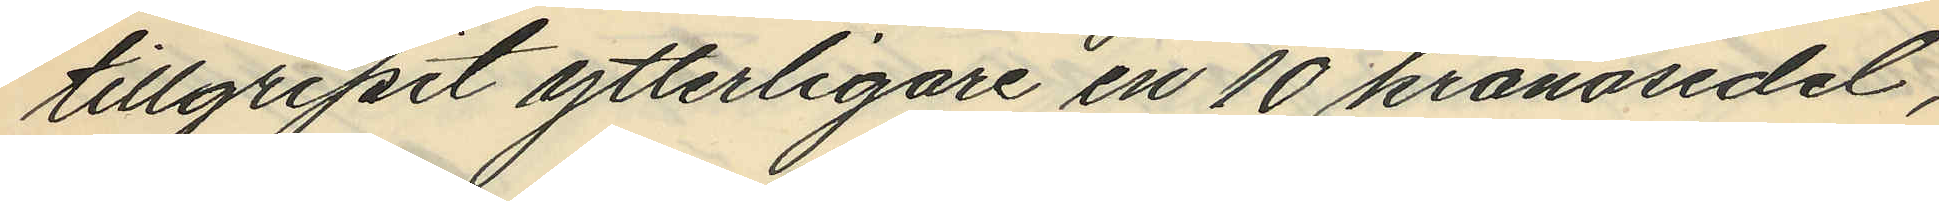tillgripit ytterligare en 10 kronosedel,
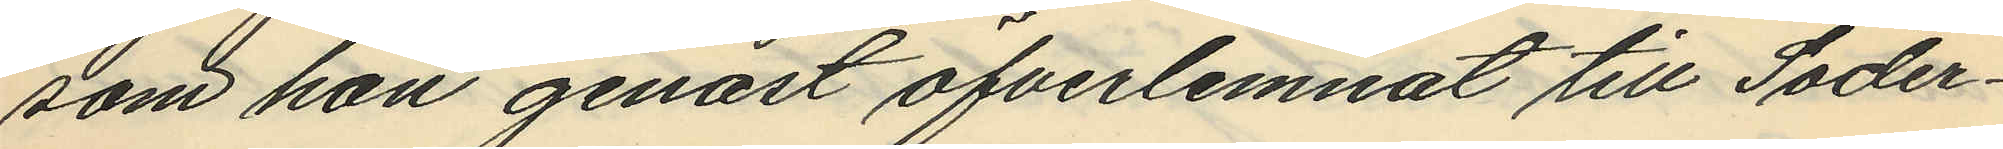som hon genast öfverlemnat till Söder¬
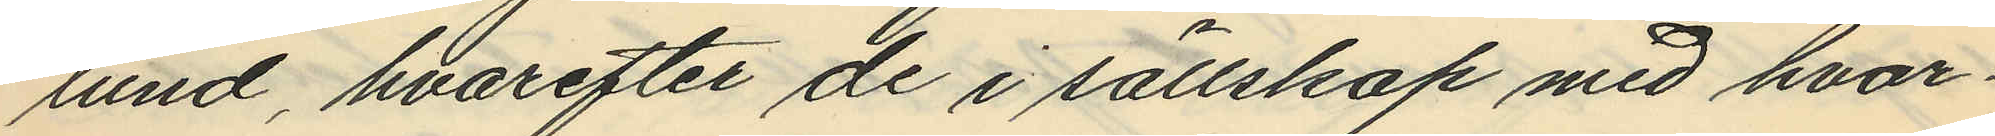lund, hvarefter de i sällskap med hvar¬
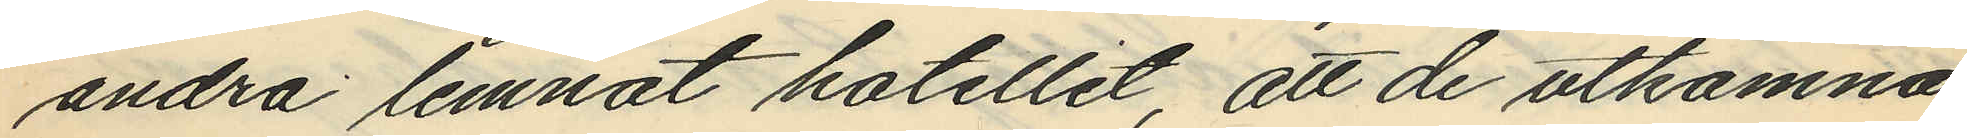andra lemnat hotellet, att de utkomna
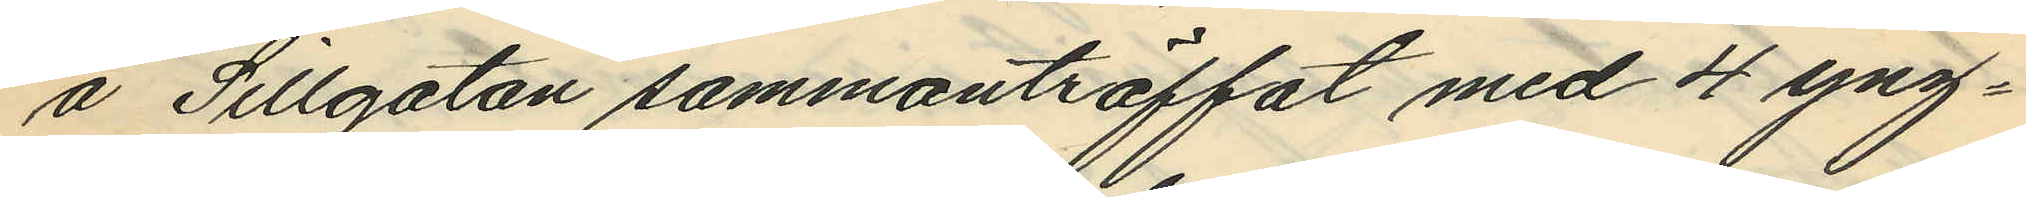å Sillgatan sammanträffat med 4 yng¬
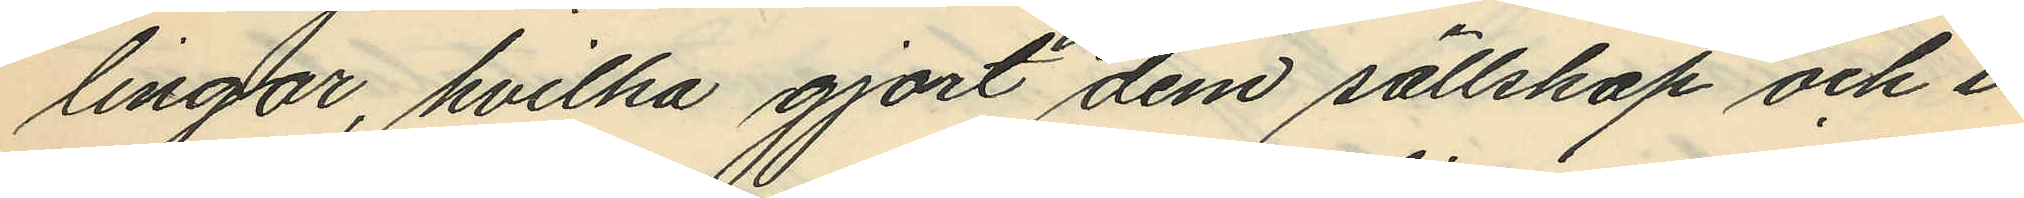lingar, hvilka gjort dem sällskap och i
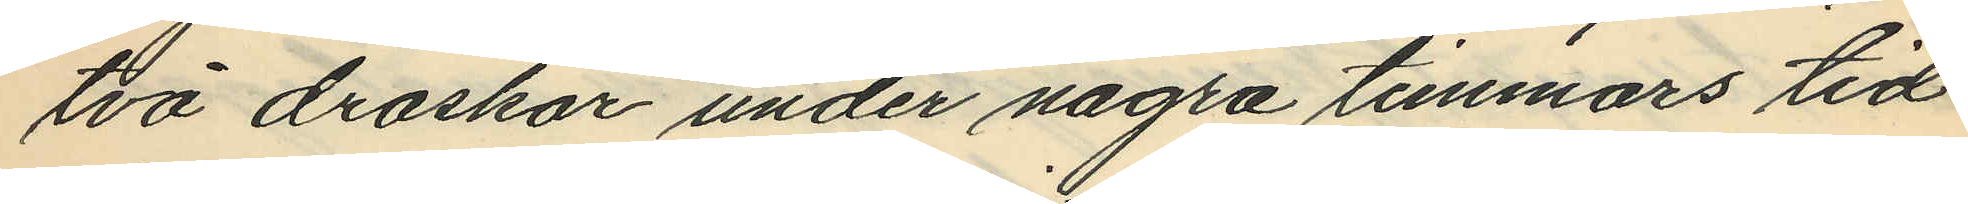två droskor under några timmars tid
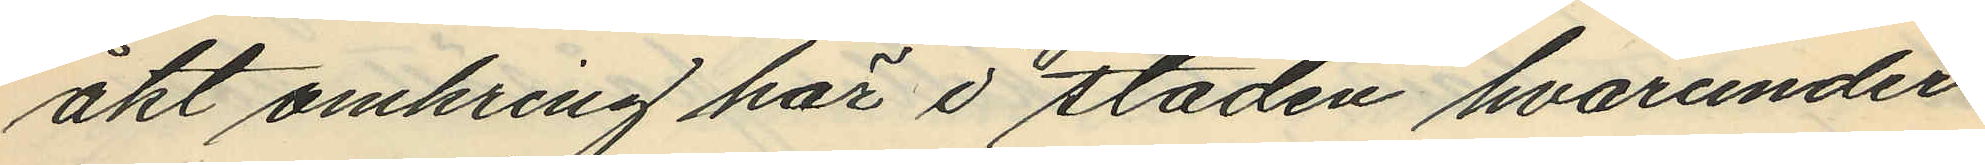åkt omkring här i staden hvarunder
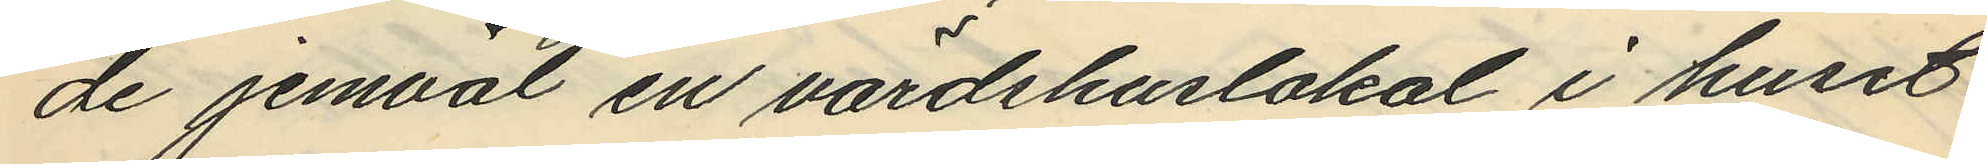de jemväl en värdshuslokal i huset
